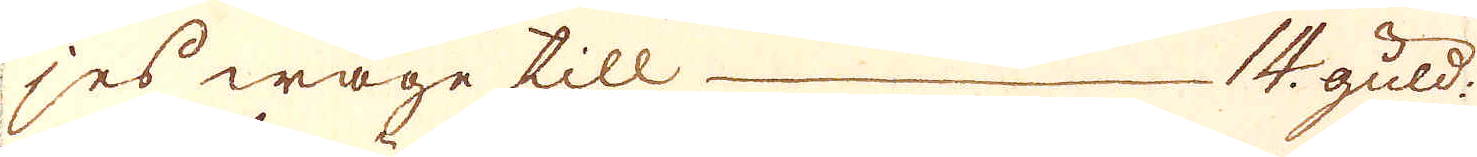jes wage till — 14 guld:
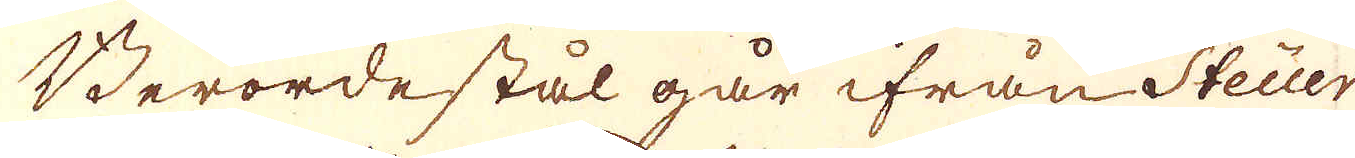Berörde stål går ifrån Steuer
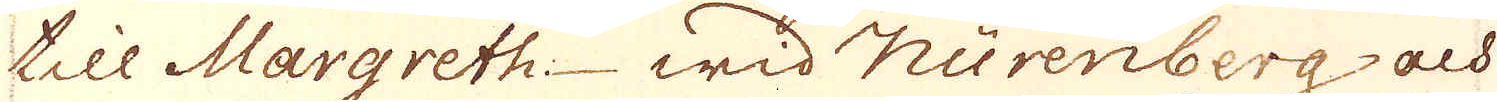till Margreth wid Nurenberg och
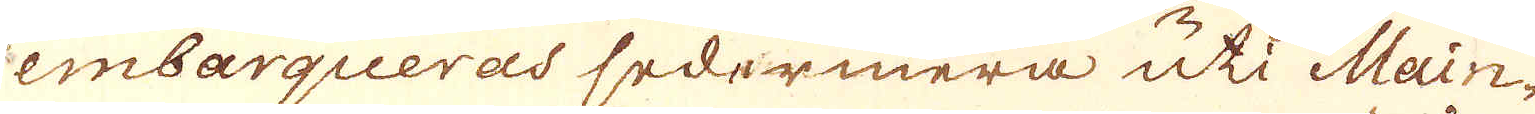embarqueras sedermera uti Main-
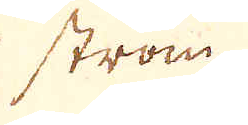ström-
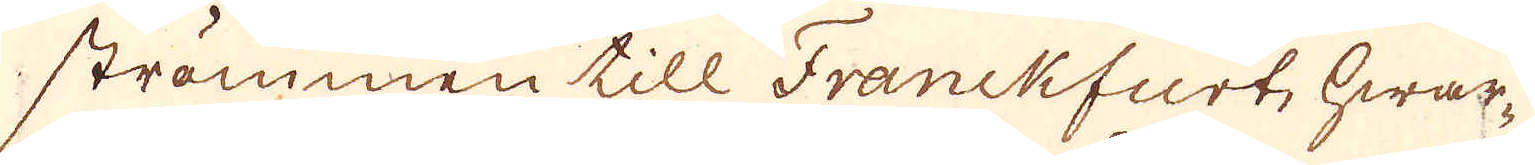strömmen till Franckfurt, hwar-
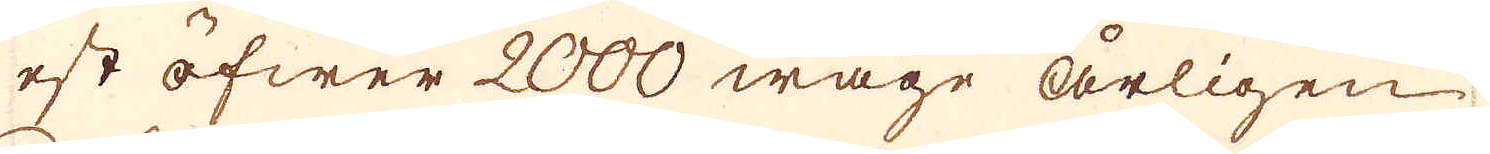est öfwer 2000 wage årligen
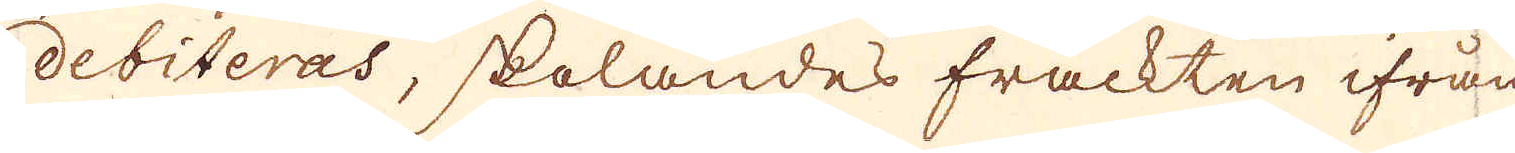debiteras, skolandes frackten ifrån
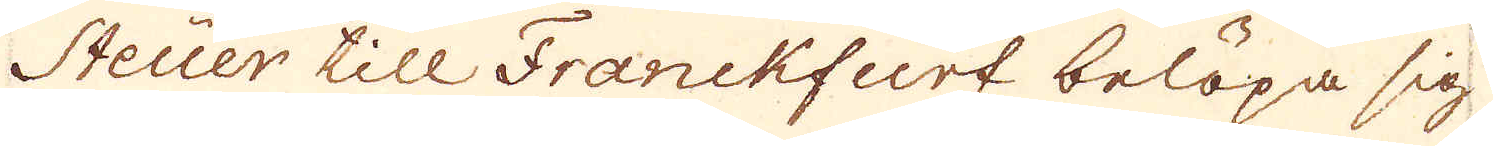Steuer till Franckfurt belöpa sig
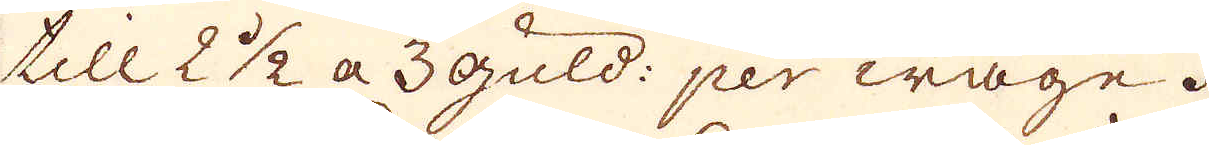till 2 1/2 a 3 guld: per wage.
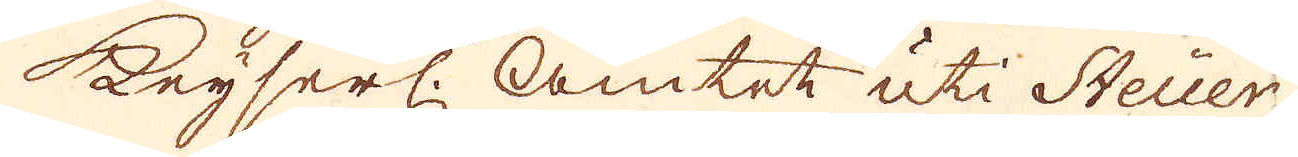Keyserl. Amtet uti Steuer
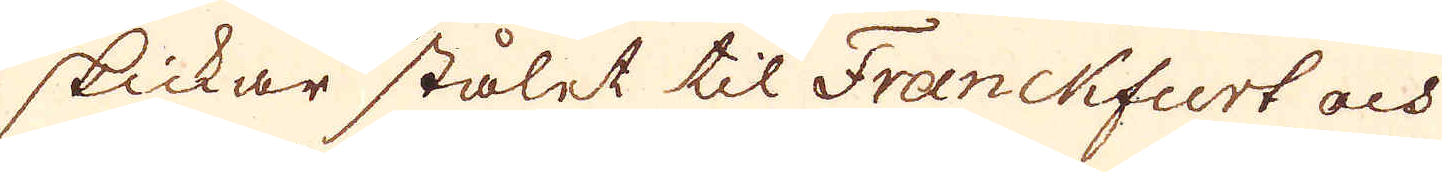skickar stålet til Franckfurt och
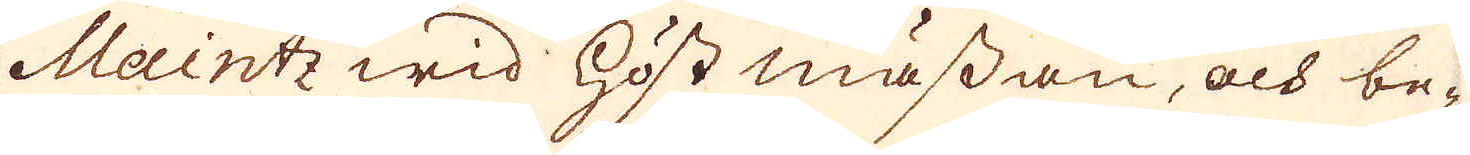Maintz wid höst mässan, och be-
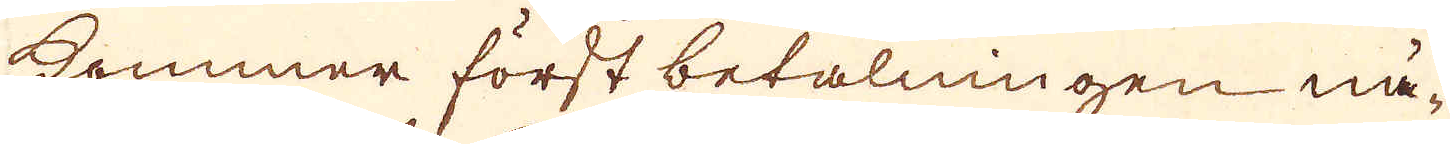kommer först betalningen nä-
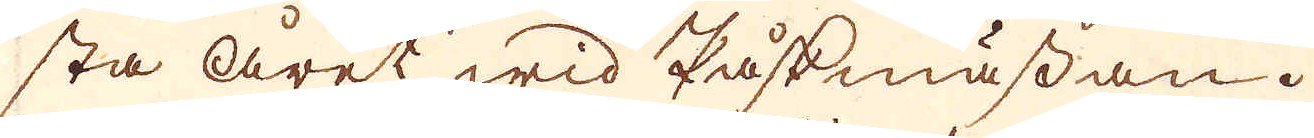sta året wid Påskmässan.
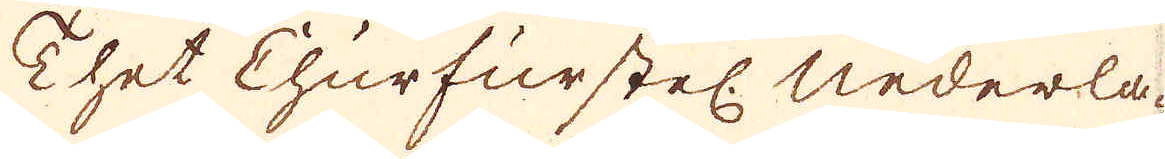Thet Churfurstel. Nederla-
